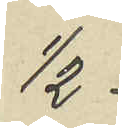1/2
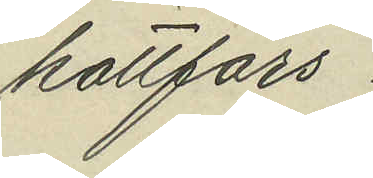köttfärs
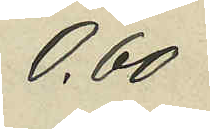0,60
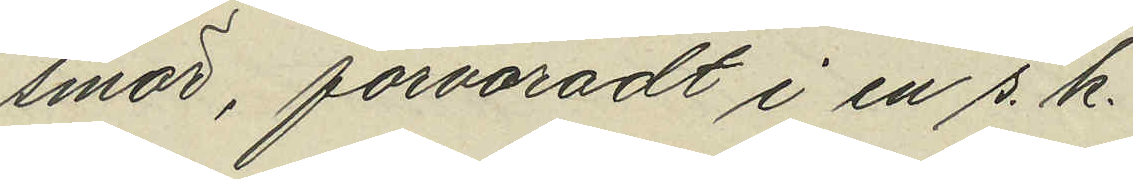smör, förvaradt i en s. k.
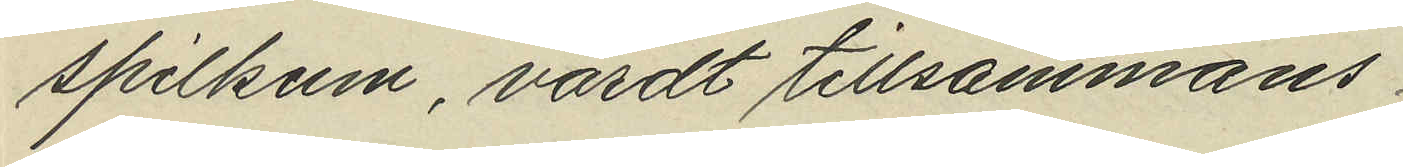spilkum, värdt tillsammans
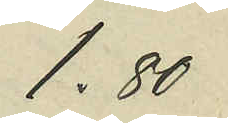1,80
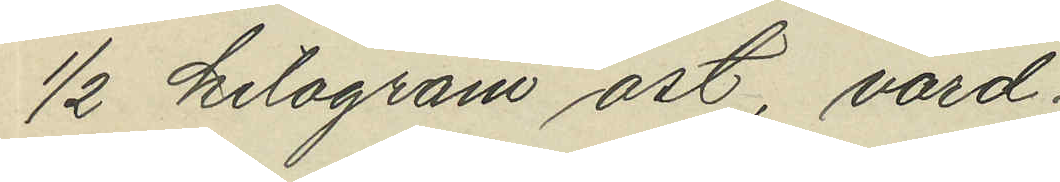1/2 kilogram ost, värd
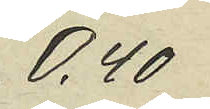0,40
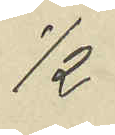1/2
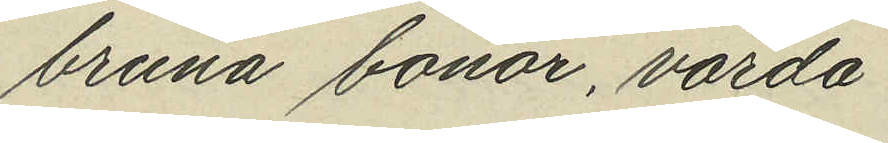bruna bönor, värda
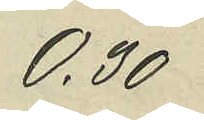0,30
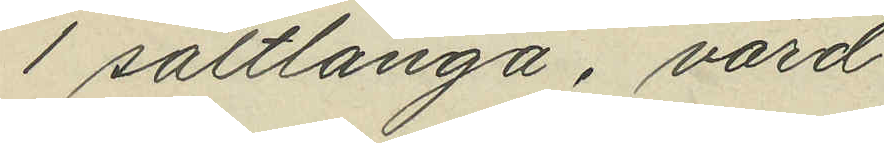1 saltlånga, värd
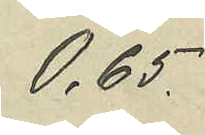0,65
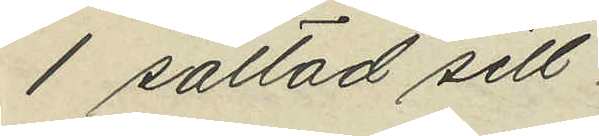1 saltad sill
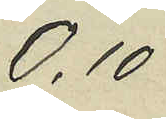0,10
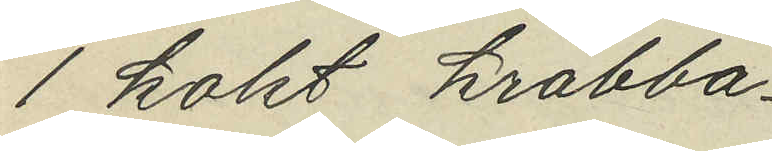1 kokt krabba
